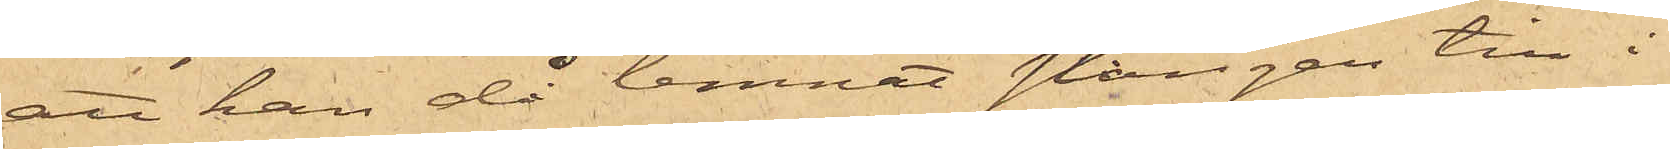att han då lemnat stången till i
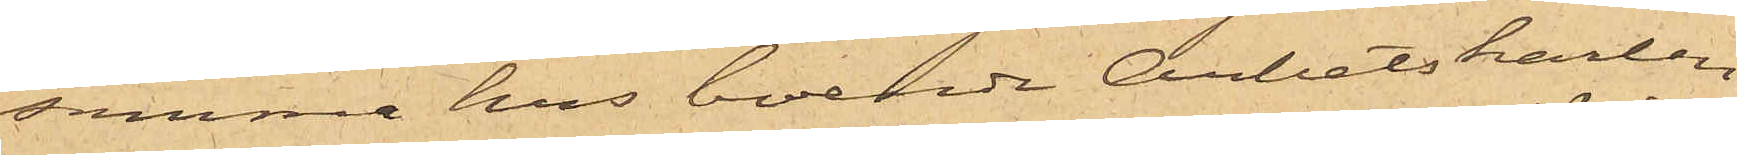samma hus boende Arbetskarlen
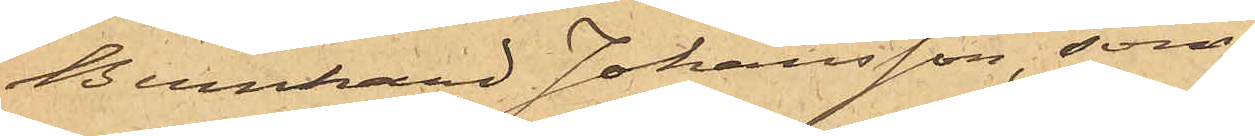Bernhard Johansson, som
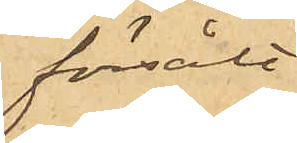försålt
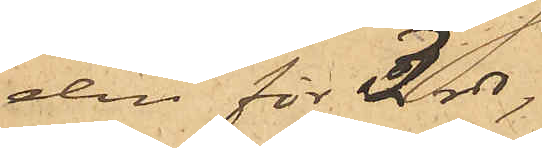den för 3 rdr,
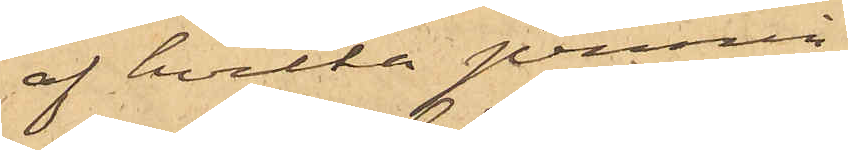af hvilka pennin¬
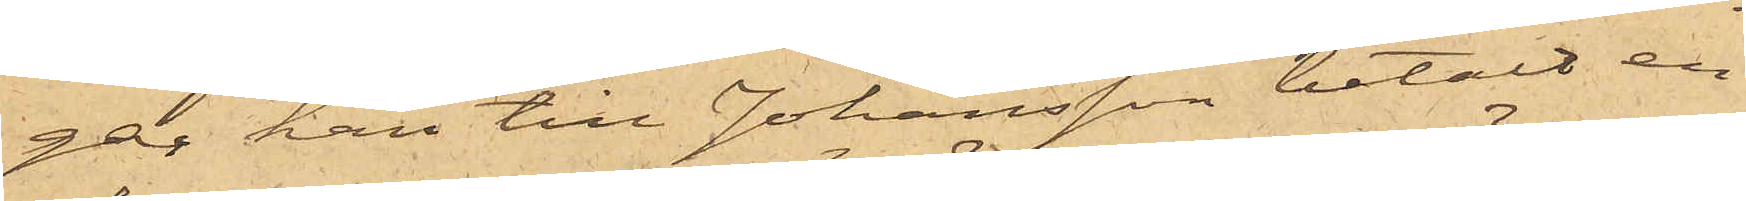gar han till Johansson betalt en
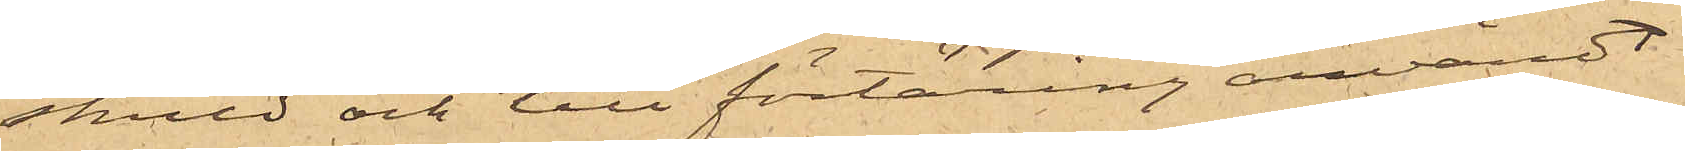skuld och till förtäring användt
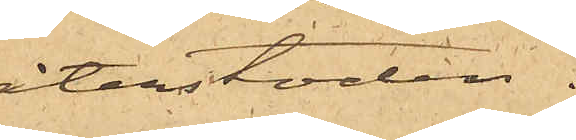återstoden.
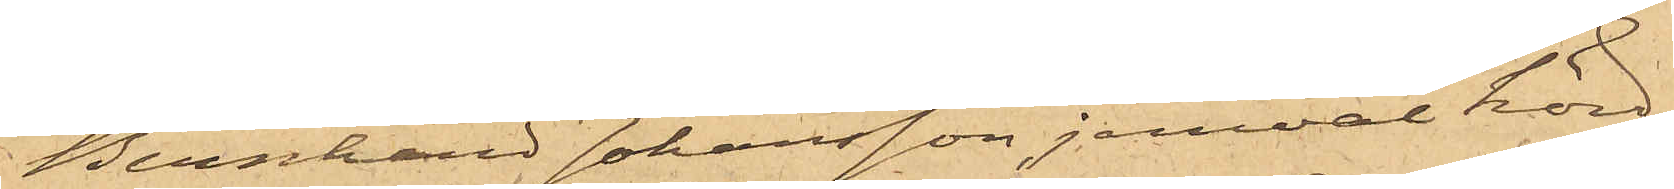Bernhard Johansson, jemväl hörd
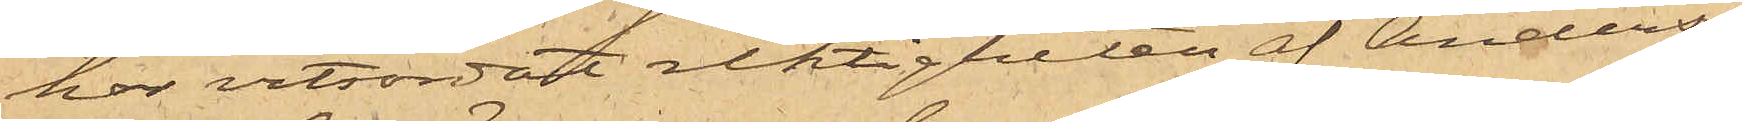har vitsordat riktigheten af Anders¬
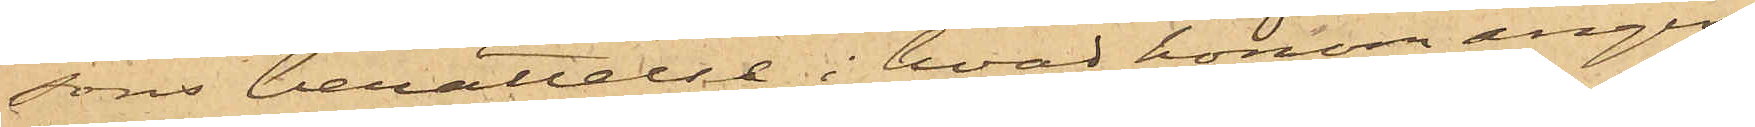sons berättelse i hvad honom angin¬
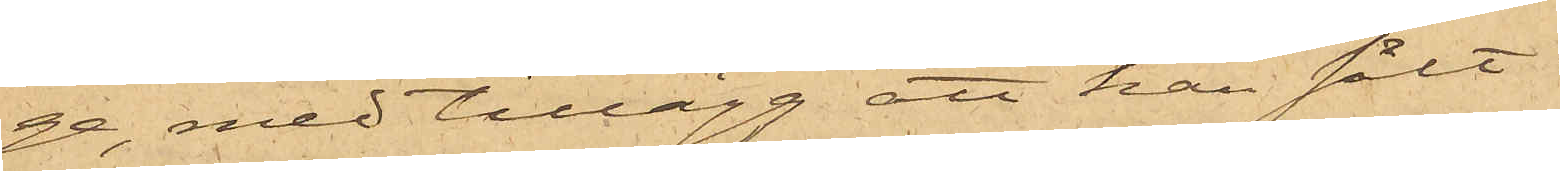ge med tillägg att han sålt
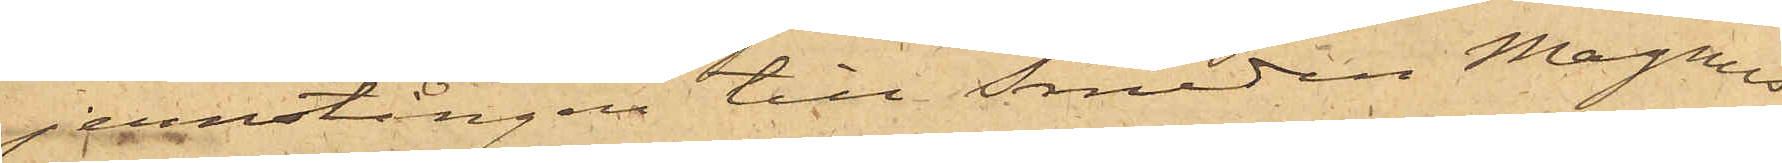jernstången till Smeden Magnus
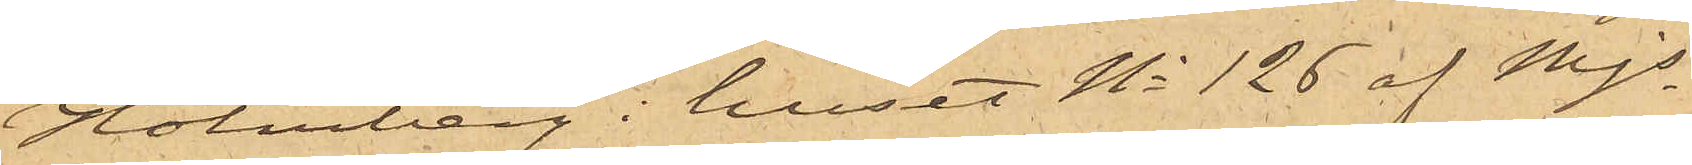Holmberg i huset No 126 af Mjs
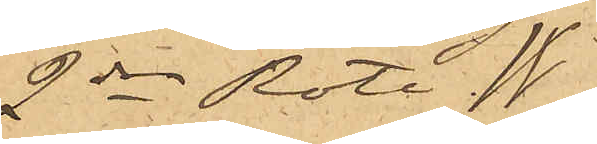2dra Rote. *W*
